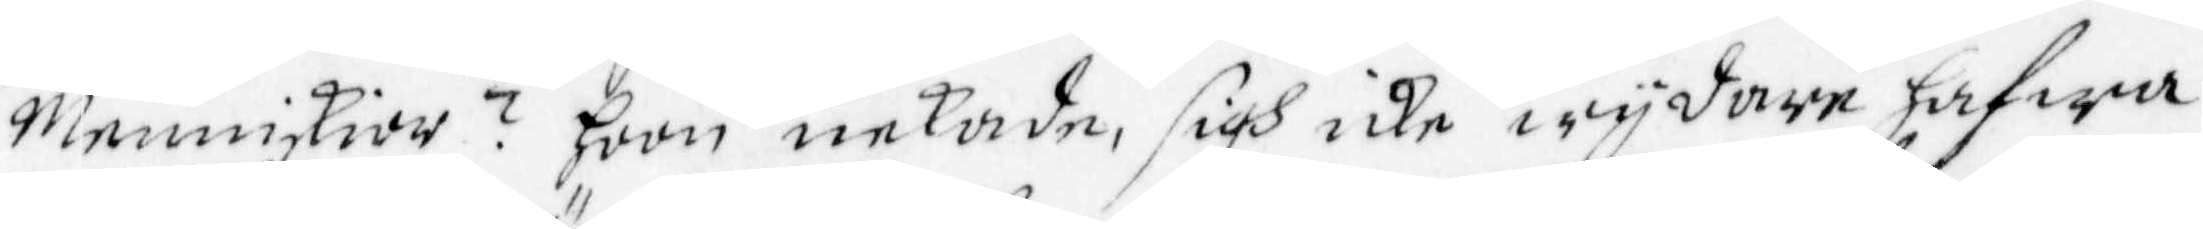Menniskior? hoon nekade sigh icke wydare hafwa
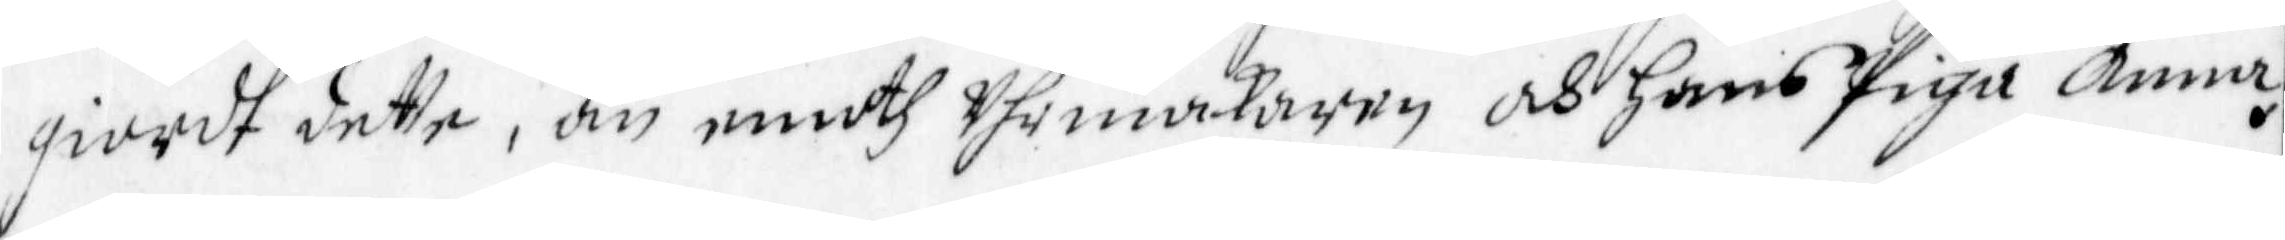giordt dette, än emoth Uhrmakaren och hans Piga Anna.
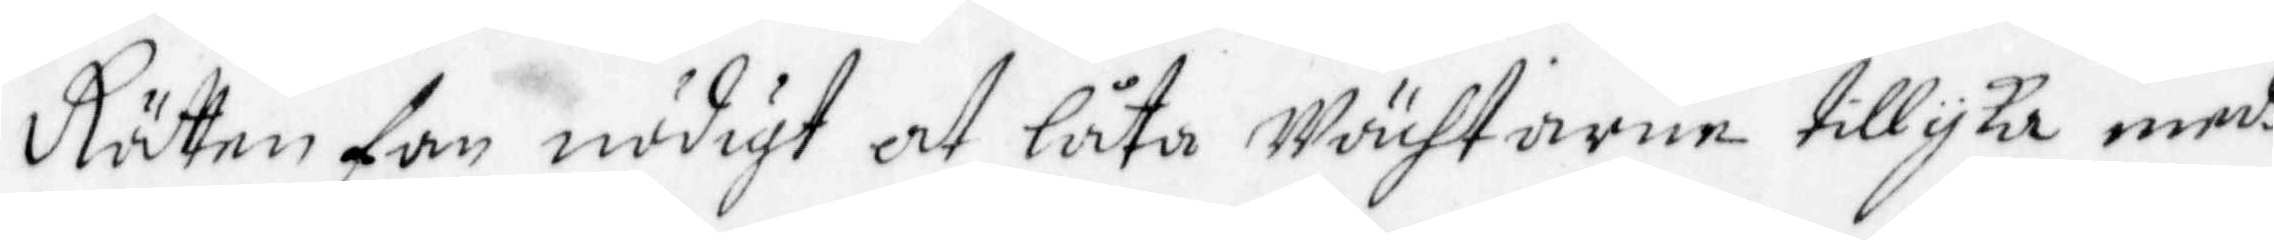Rätten fan nödigt at låta Wächtarne tillyka medh
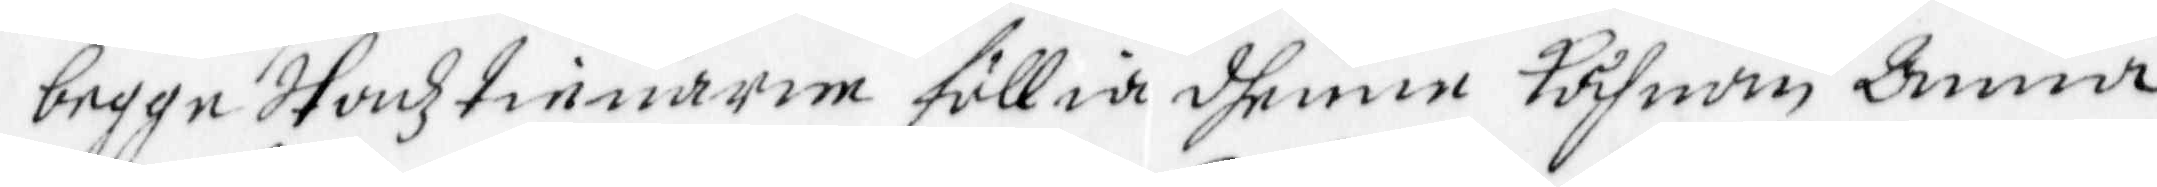begge Stadztienarne föllia dhenne Kåhnan Anna
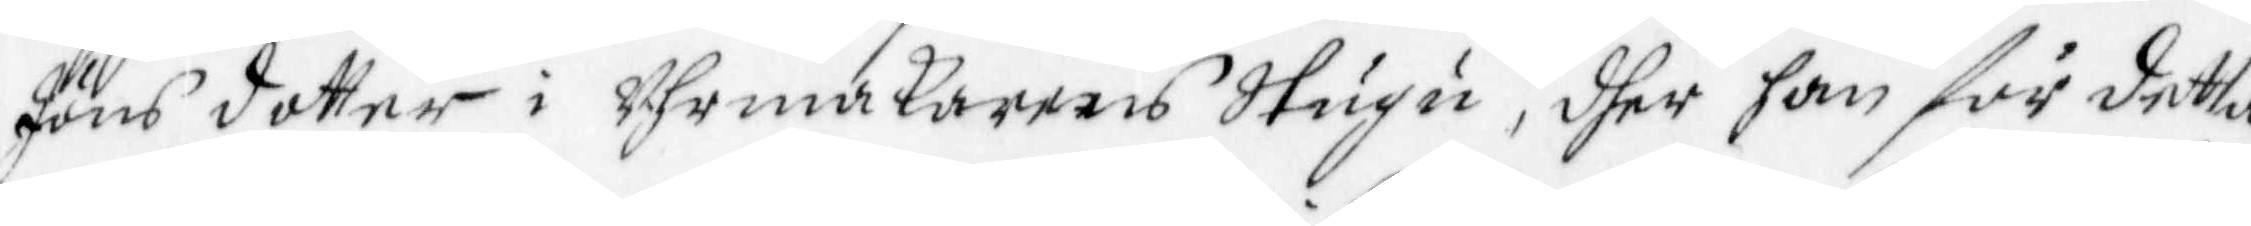Jöns dotter i Uhrmakarens Stugu, dher han för detta
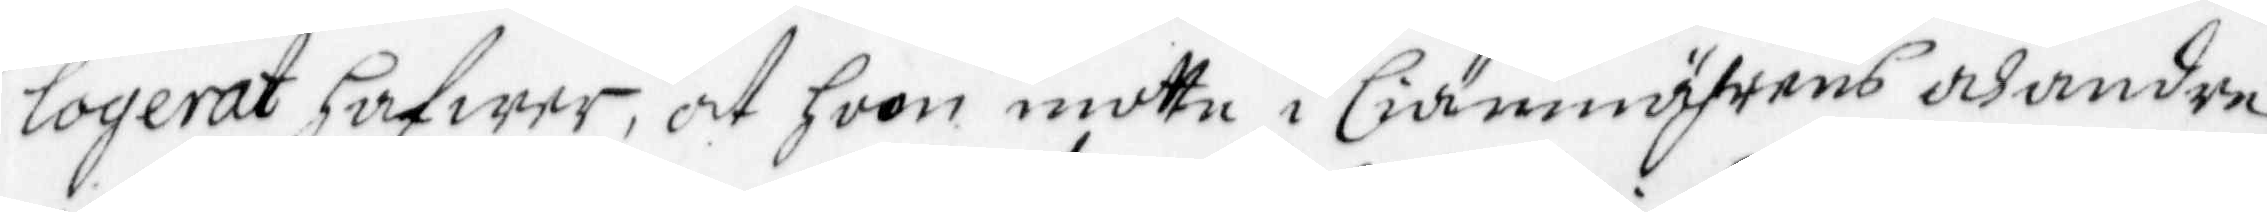logerat hafwer, at hoon mptte i liänneäfrens ahandre
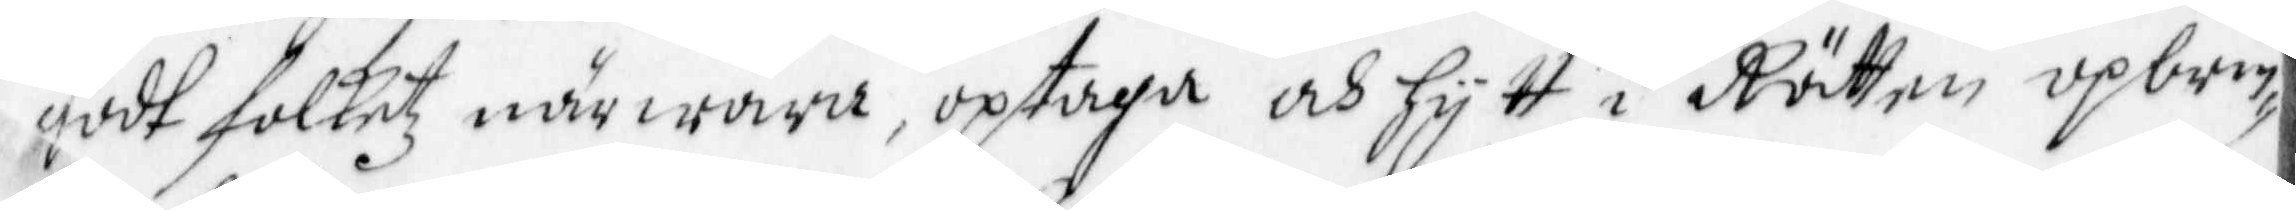godt folketz närwara uptaga och hytt i Rätten upbrin¬
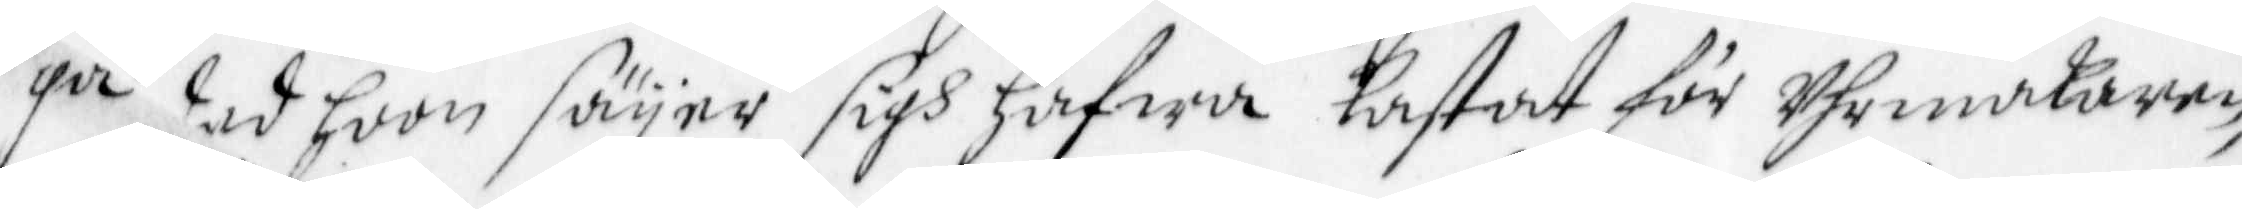ga ded hoon säyer sigh hafwa kastat för uhrmakaren,
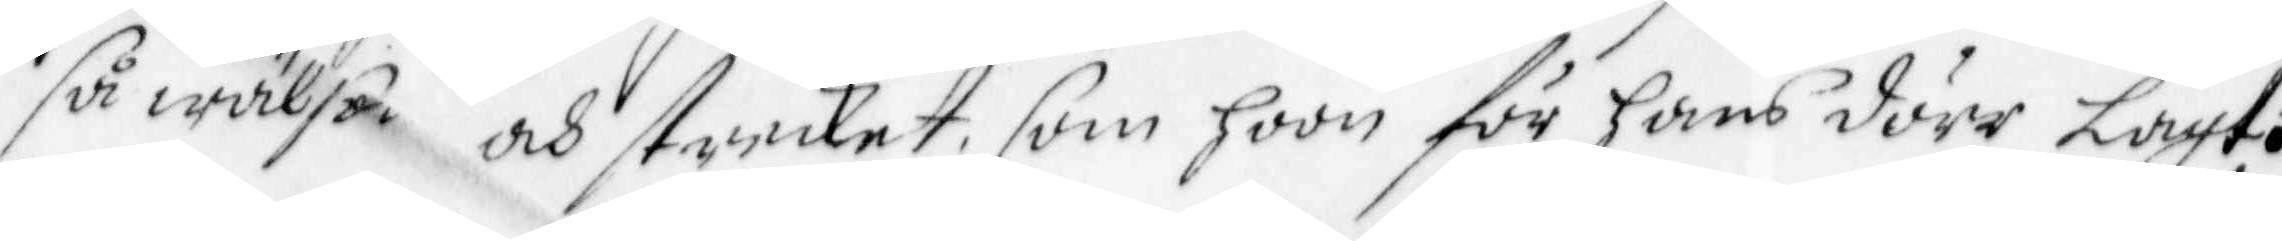så wälse och struket, som hoon för hans dörr lagt.
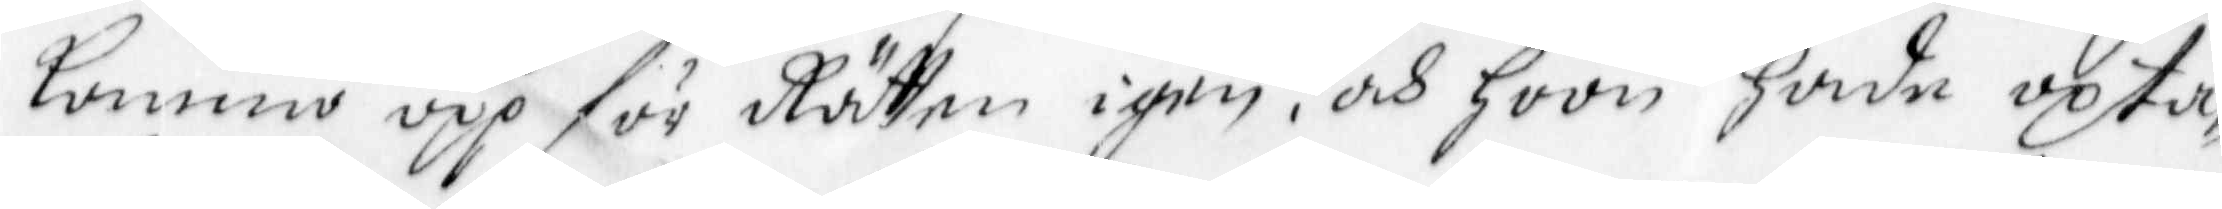kommo upp för Rätten igen, och hoon hade upta¬
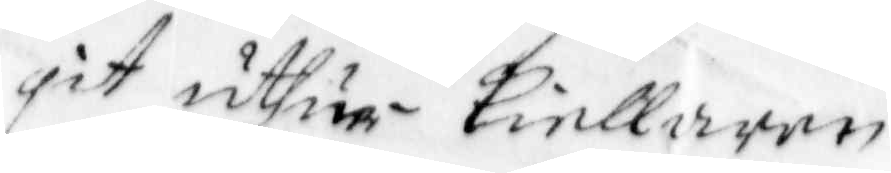git uthur kiellaren 
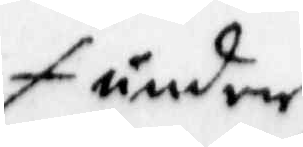under
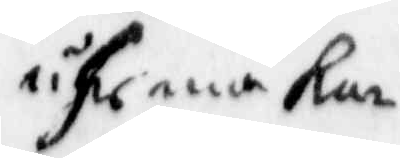uhrmakar¬
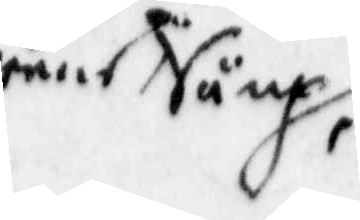rens Säng,
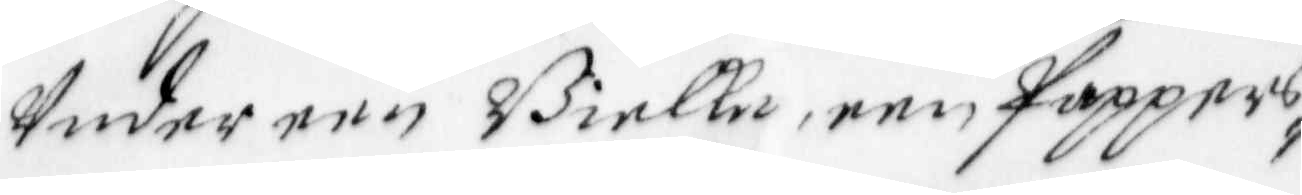Under een Bielke, een Pappers¬
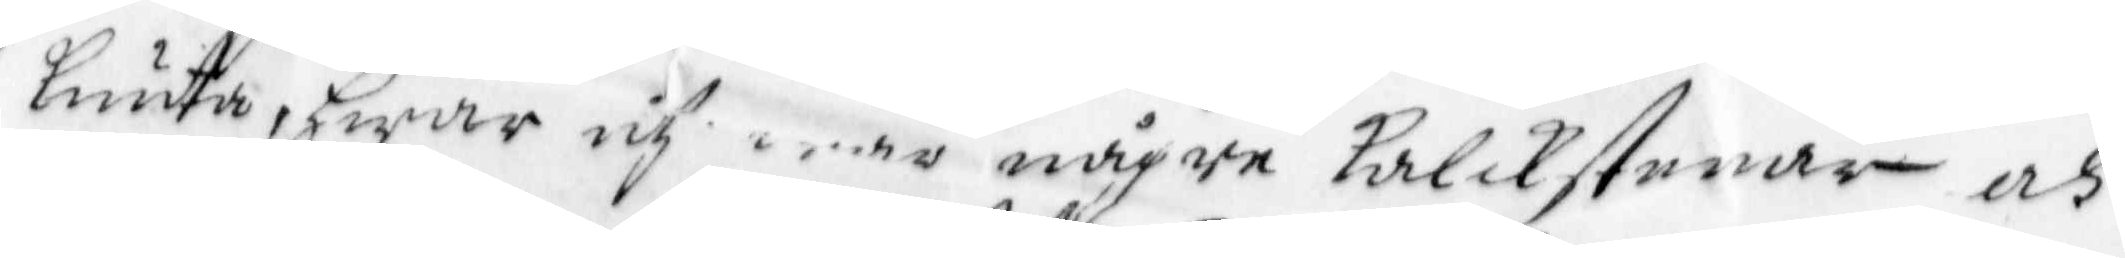lunta, hwar och woro någre kalckstenar och
